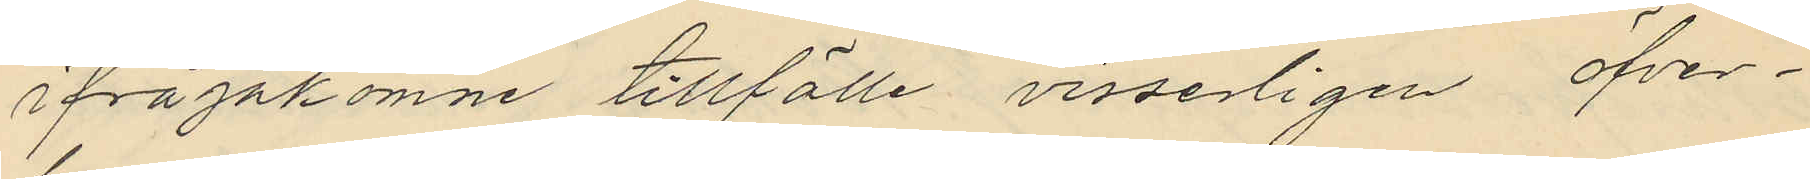ifrågakomne tillfälle visserligen öfver¬
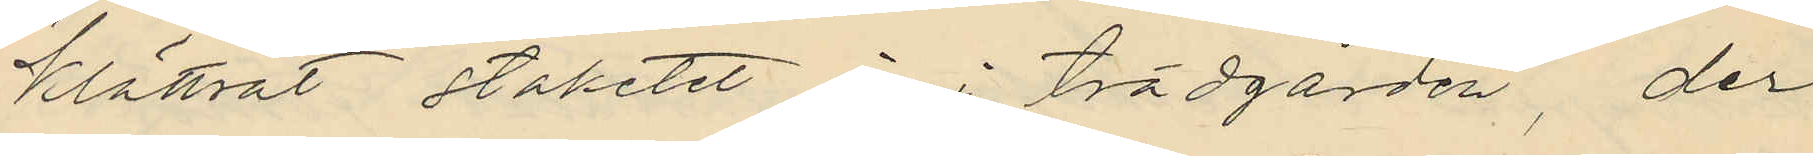klättrat staketet in i trädgården, der
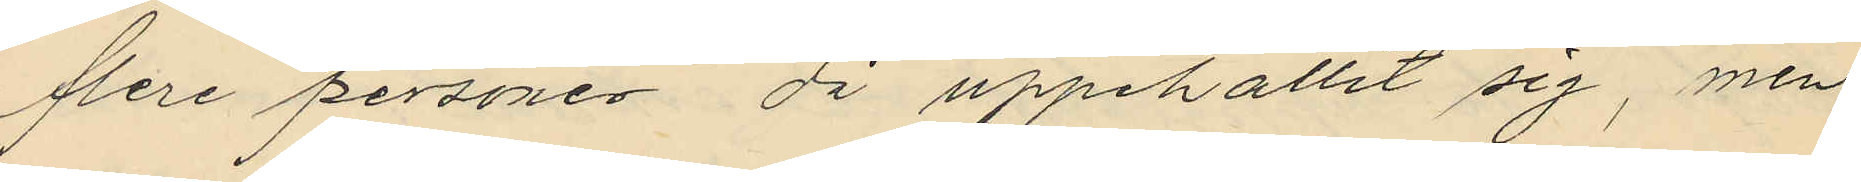flere personer då uppehållit sig, men
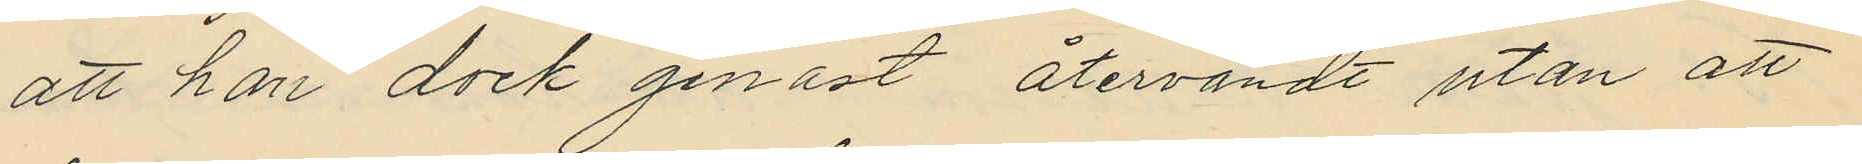att han dock genast återvändt utan att
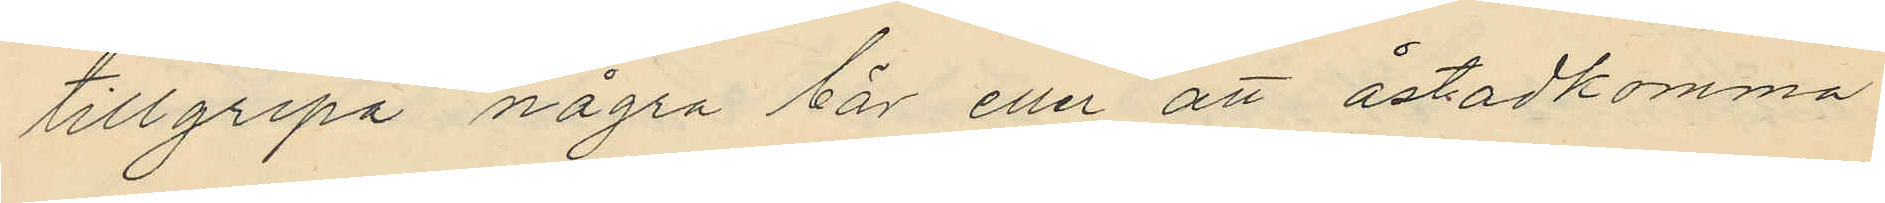tillgripa några bär eller att åstadkomma
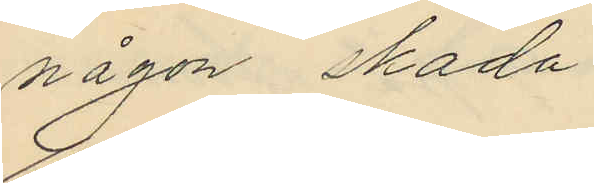någon skada;
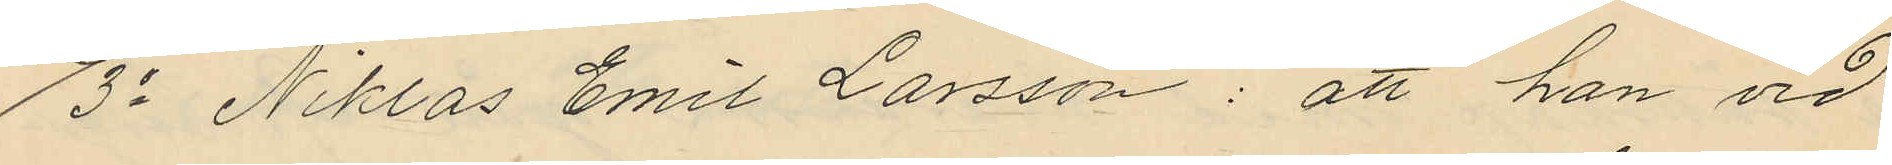3o Niklas Emil Larsson: att han vid
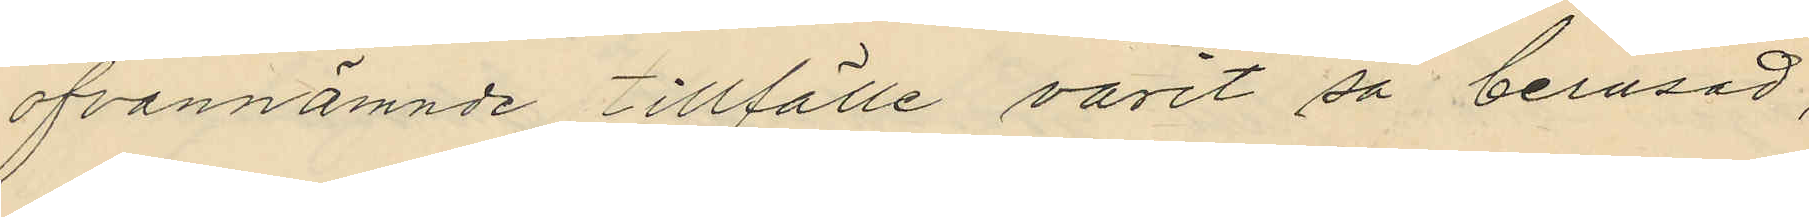ofvannämnde tillfälle varit så berusad,
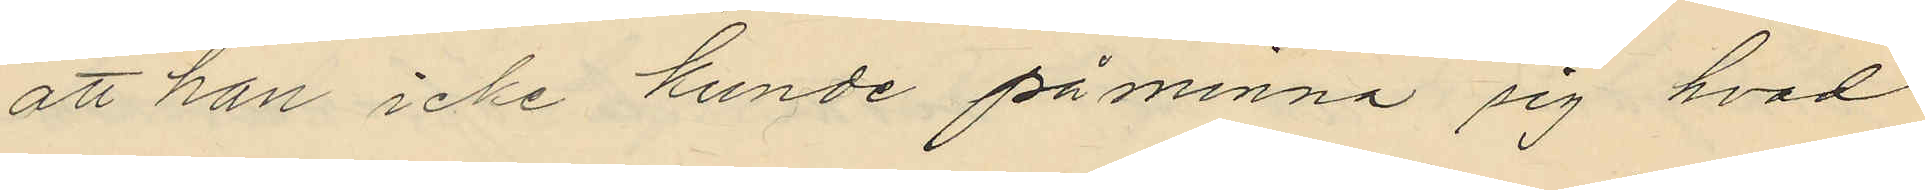att han icke kunde påminna sig hvad
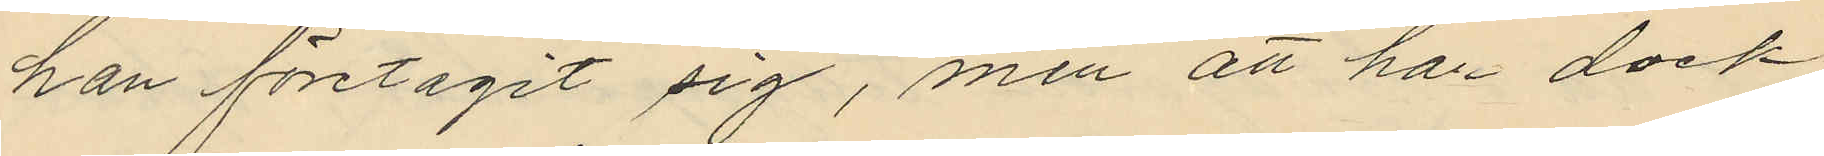han företagit sig, men att han dock
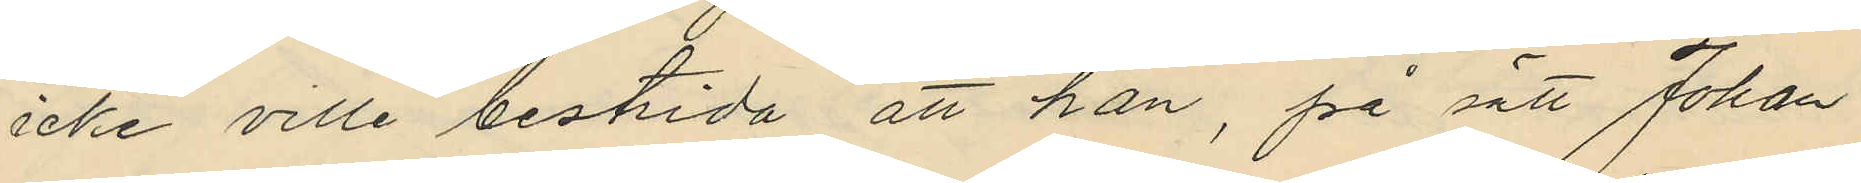icke ville bestrida att han, på sätt Johan
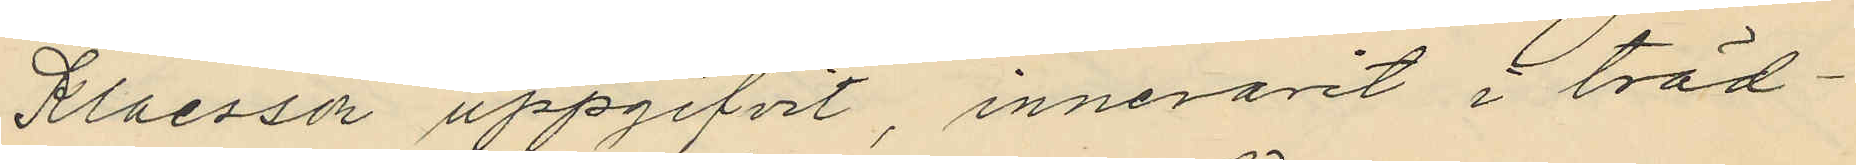Klaesson uppgifvit, innevarit i träd¬
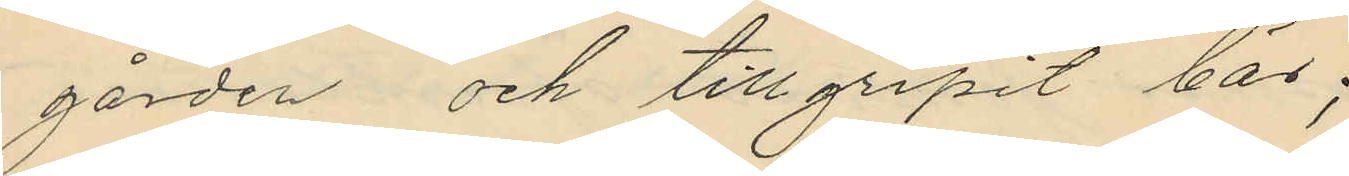gården och tillgripit bär;
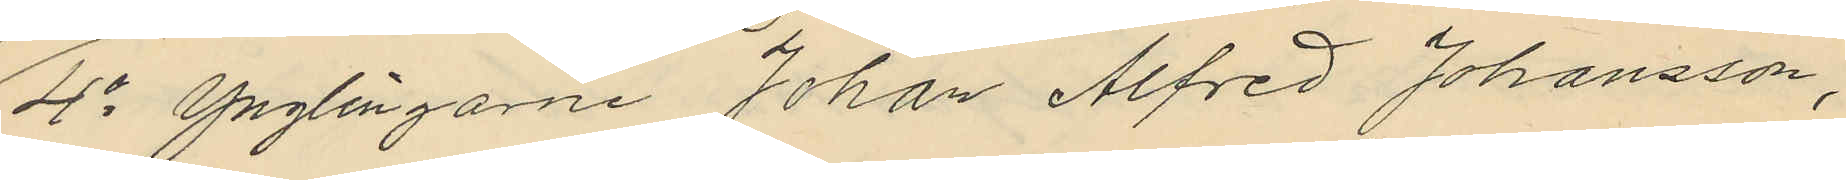4o Ynglingarne Johan Alfred Johansson,
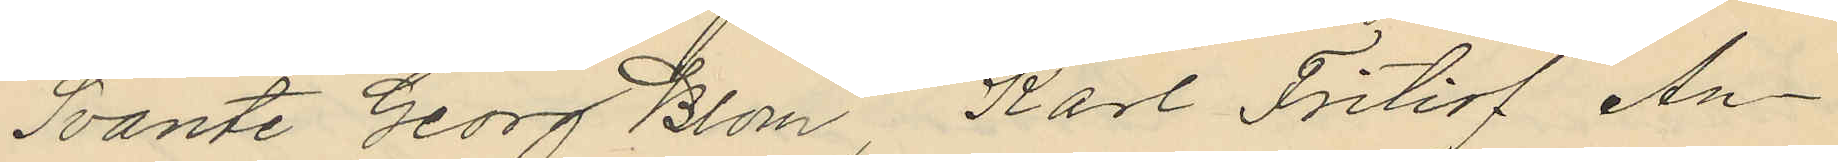Svante Georg Blom, Karl Fritiof An¬
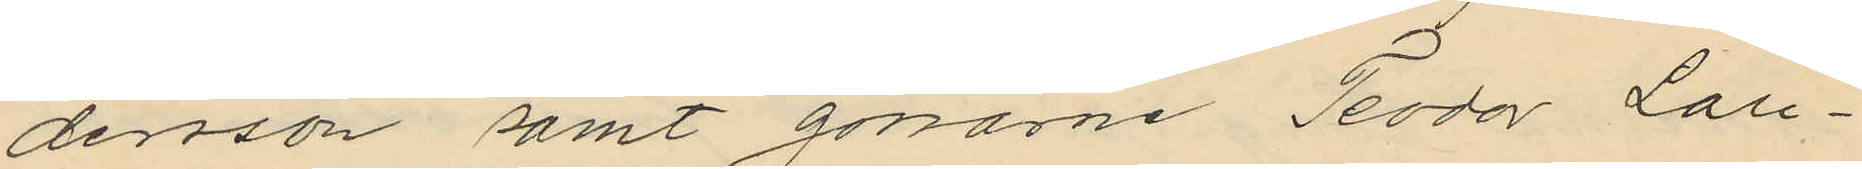dersson samt gossarne Teodor Laru¬
